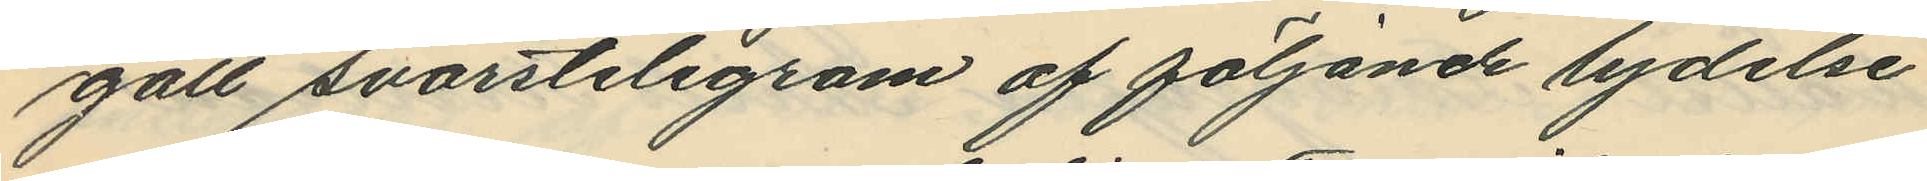gått svarstelegram af följande lydelse
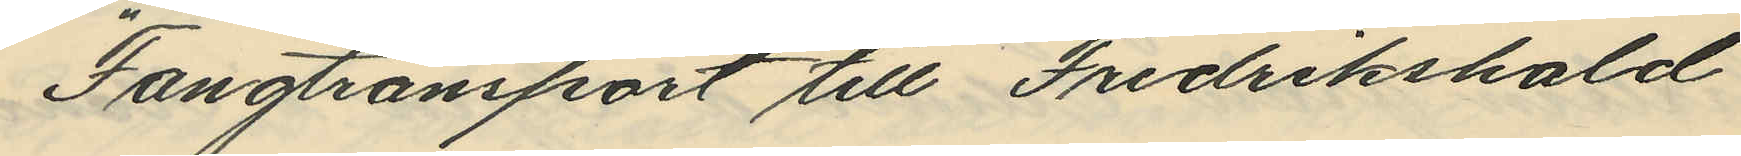"Fangtransport till Fredrikshald
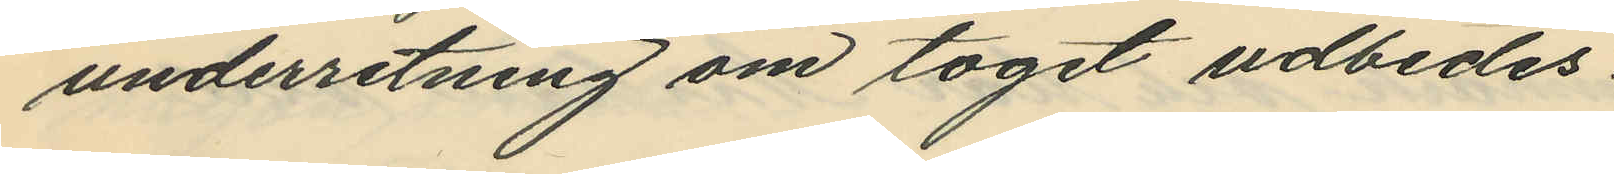underretning om toget udbedes.
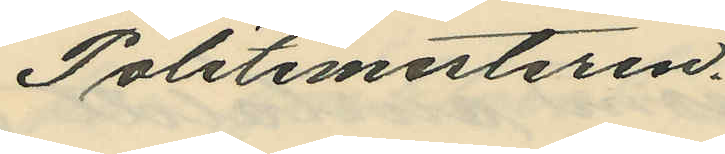Politimesteren."
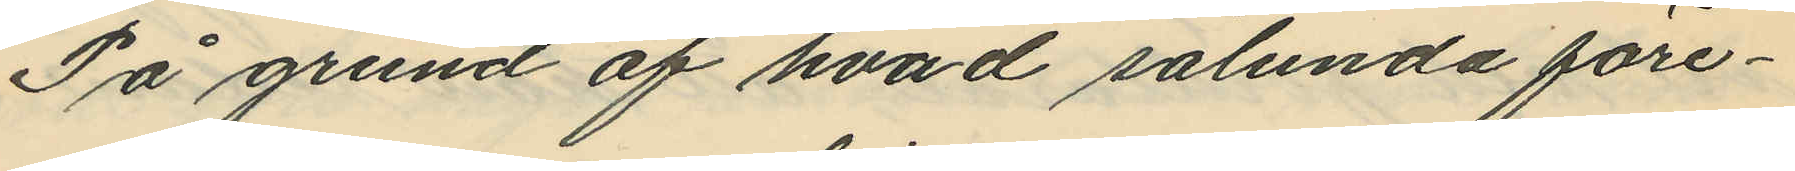På grund af hvad sålunda före¬
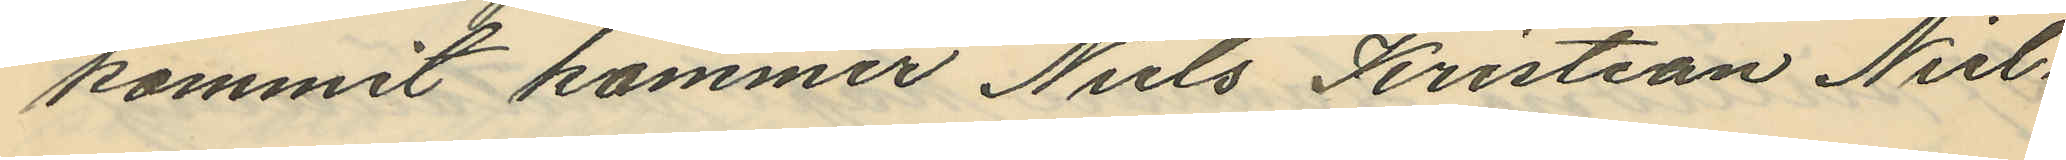kommit kommer Niels Kristian Niel¬
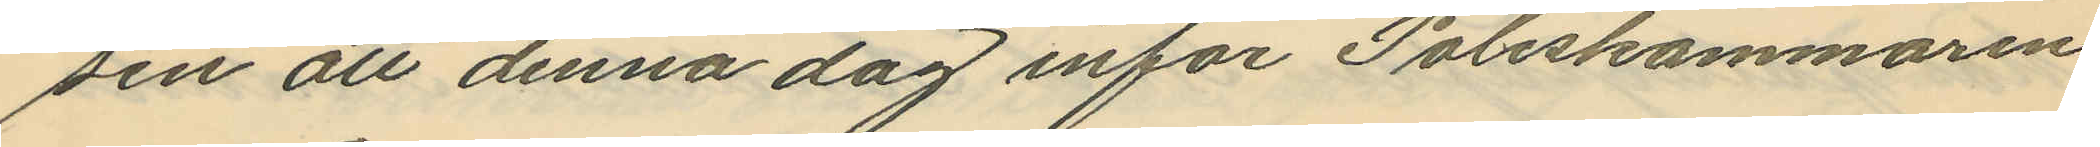sen att denna dag inför Poliskammaren
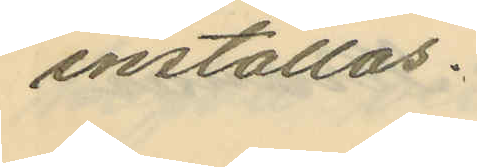inställas.
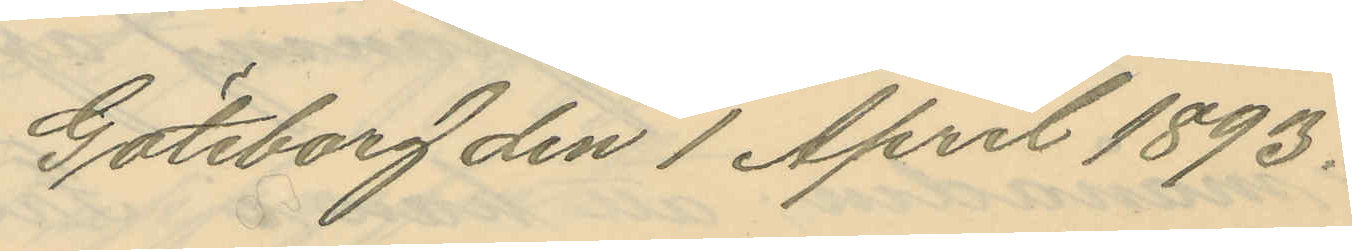Göteborg den 1 April 1893.
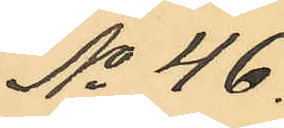No 46.
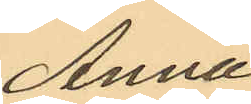Anna
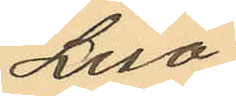Lisa
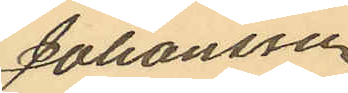Johansson
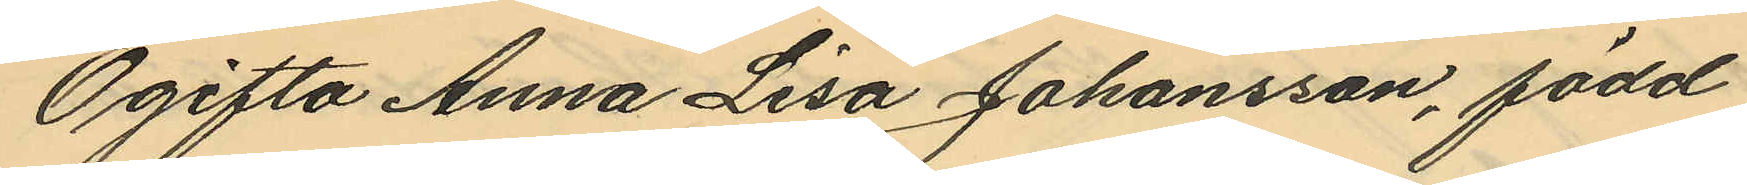Ogifta Anna Lisa Johansson, född
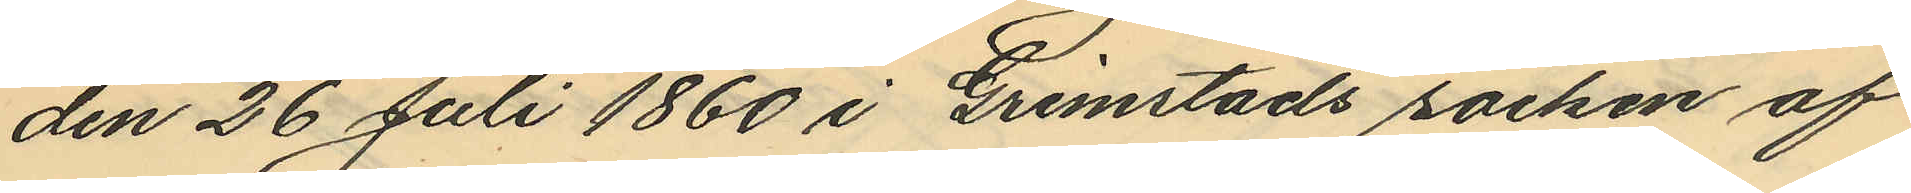den 26 Juli 1860 i Grimstads socken af
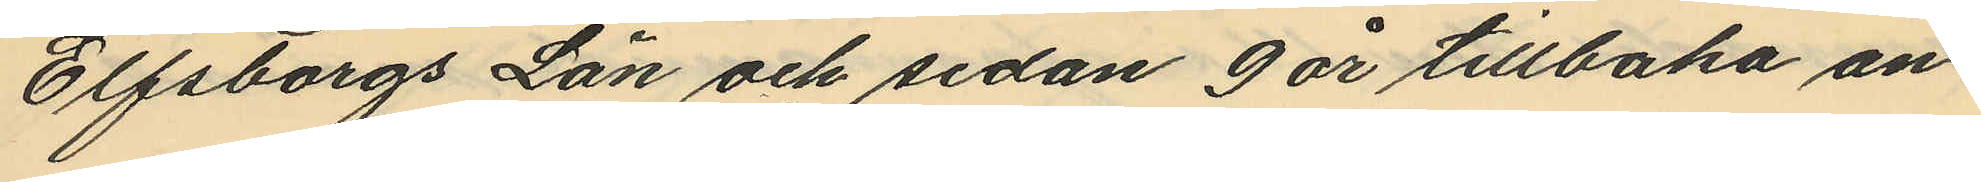Elfsborgs Län och sedan 9 år tillbaka an¬
